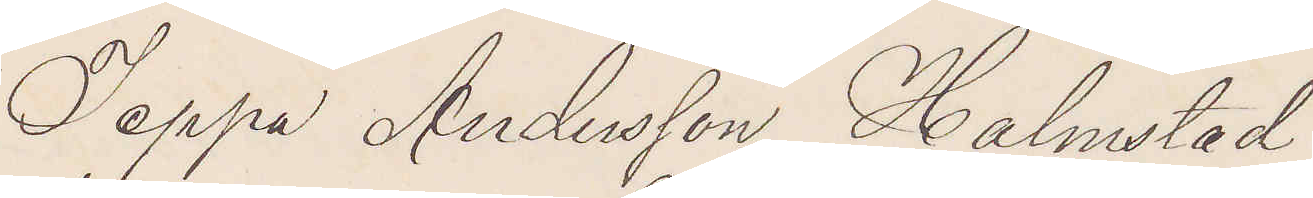Jeppa Andersson Halmstad
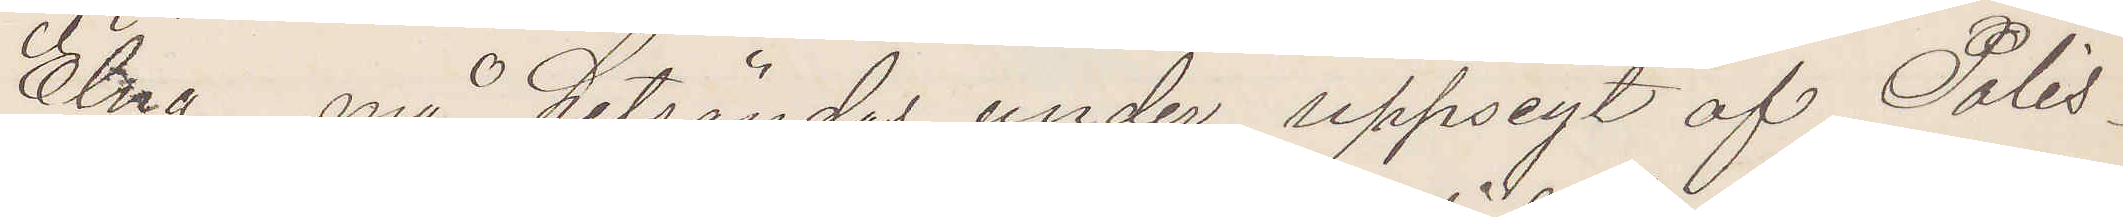Elna må hitsändas under uppsigt af Polis¬
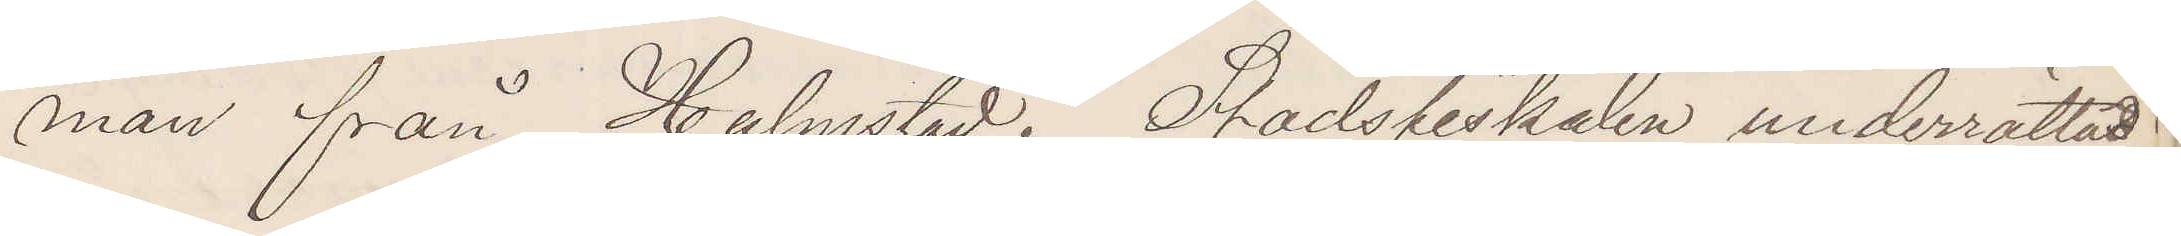man från Halmstad. Stadsfiskalen underrättad
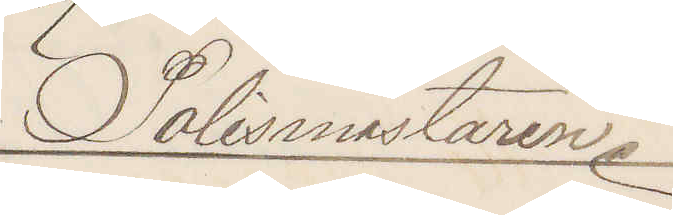Polismästaren.
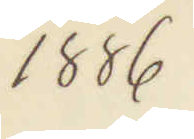1886
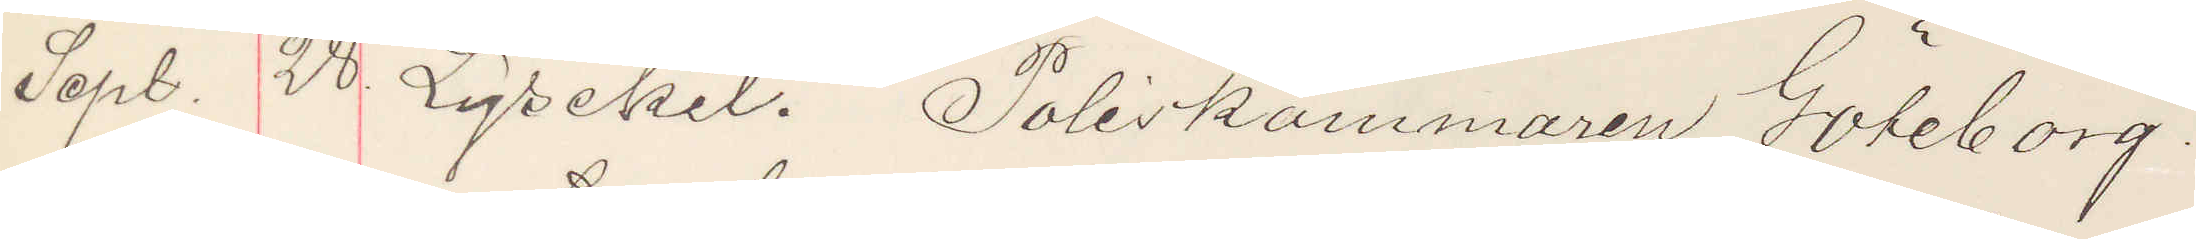Sept. 28. Lysekil. Poliskammaren Göteborg.
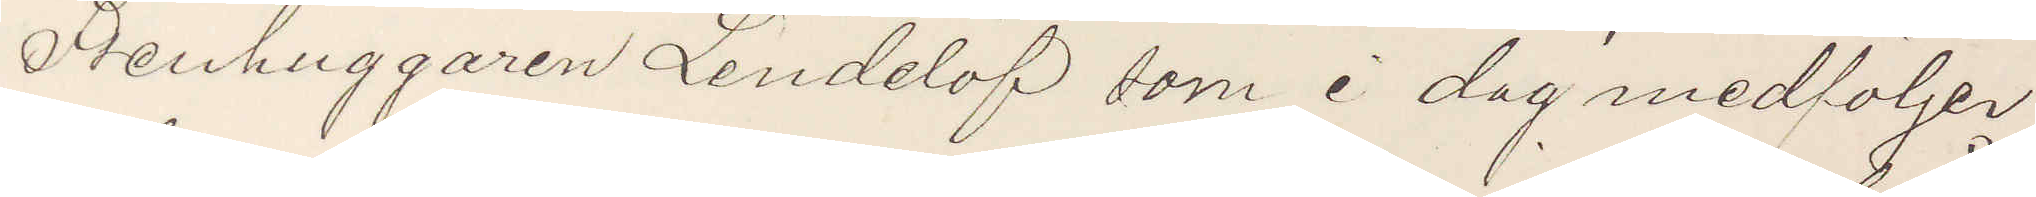Stenhuggaren Lindelöf som i dag medföljer
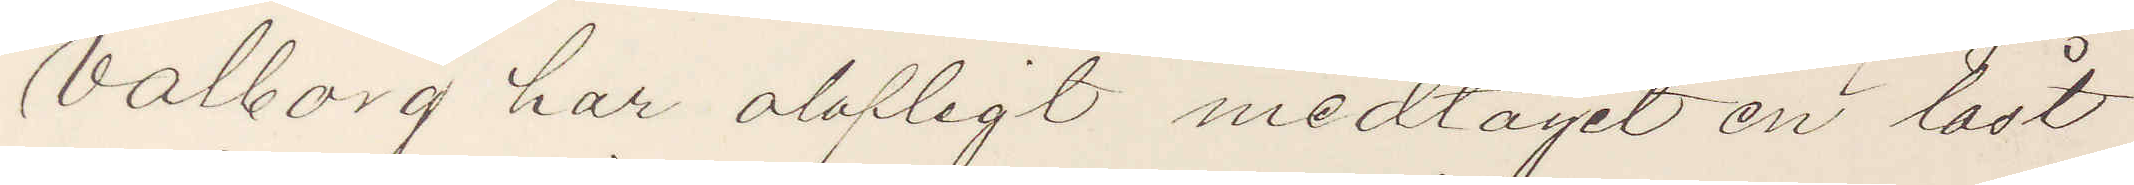Valborg har olofligt medtagit en låst
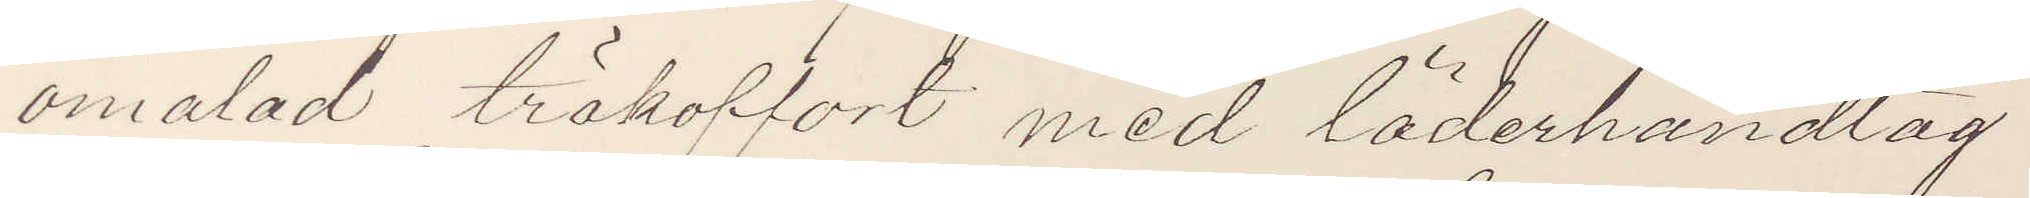omålad träkoffort med läderhandtag
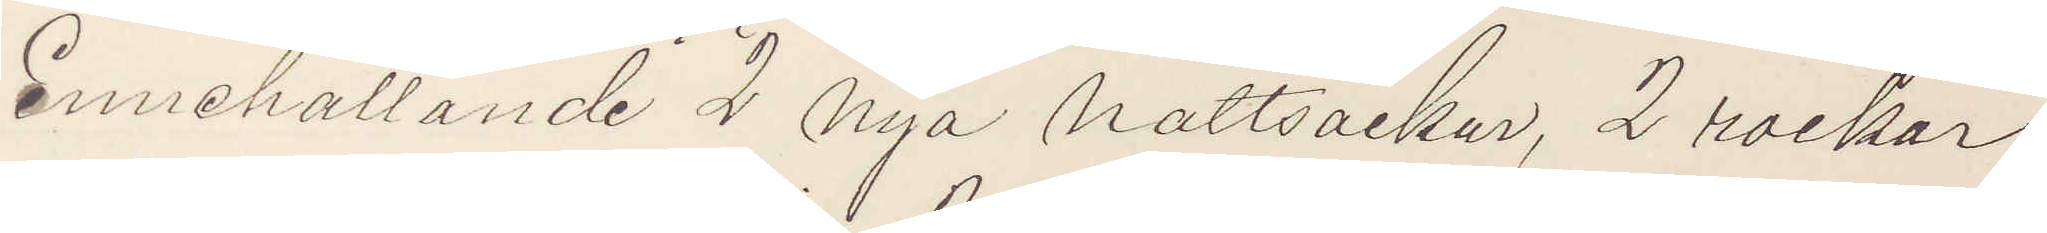innehållande 2 nya nattsärkar, 2 rockar
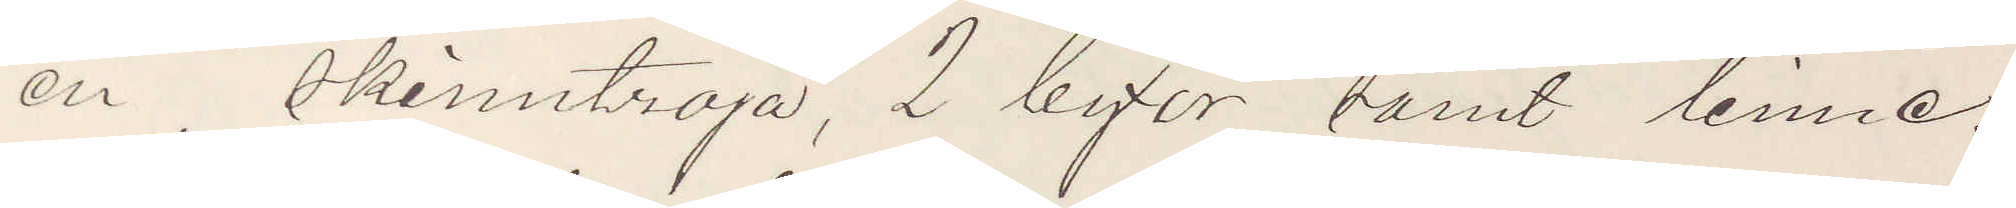en skinntröja, 2 byxor samt linne,
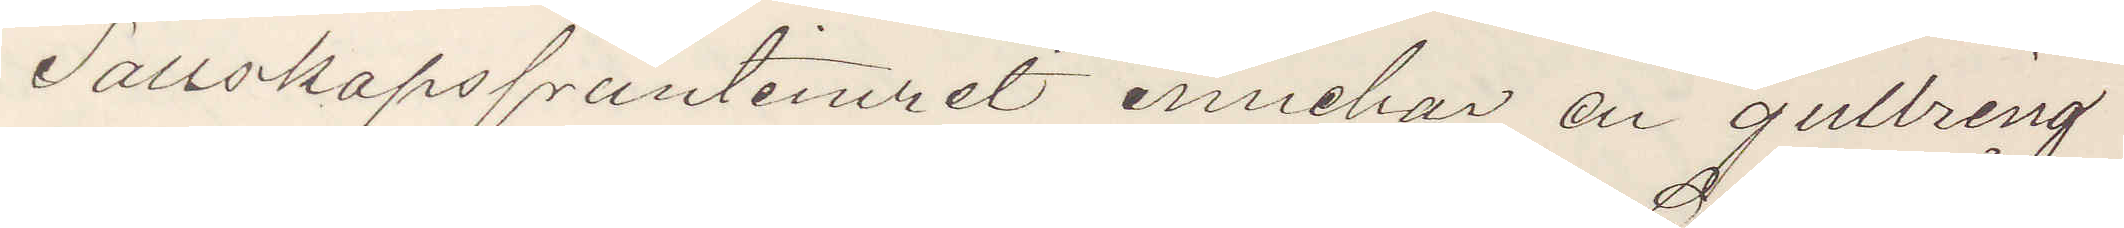Sällskapsfruntimret innehar en gullring
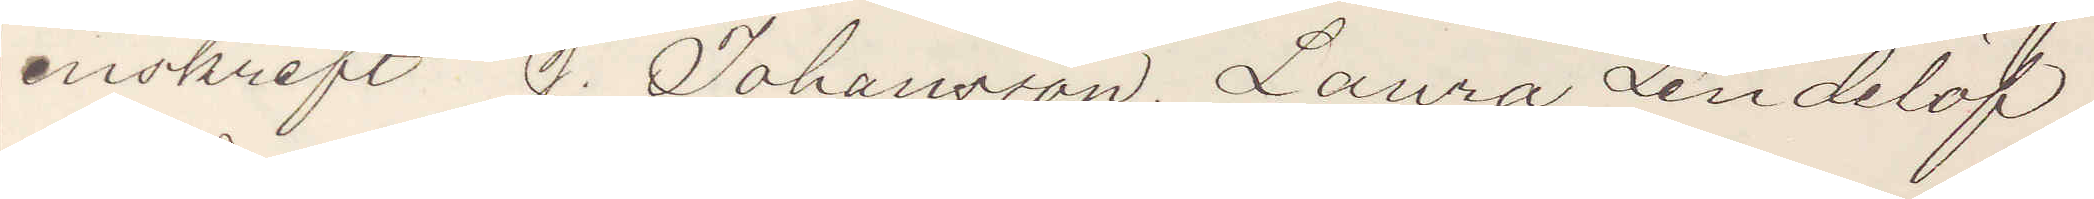inskrift J. Johansson. Laura Lindelöf
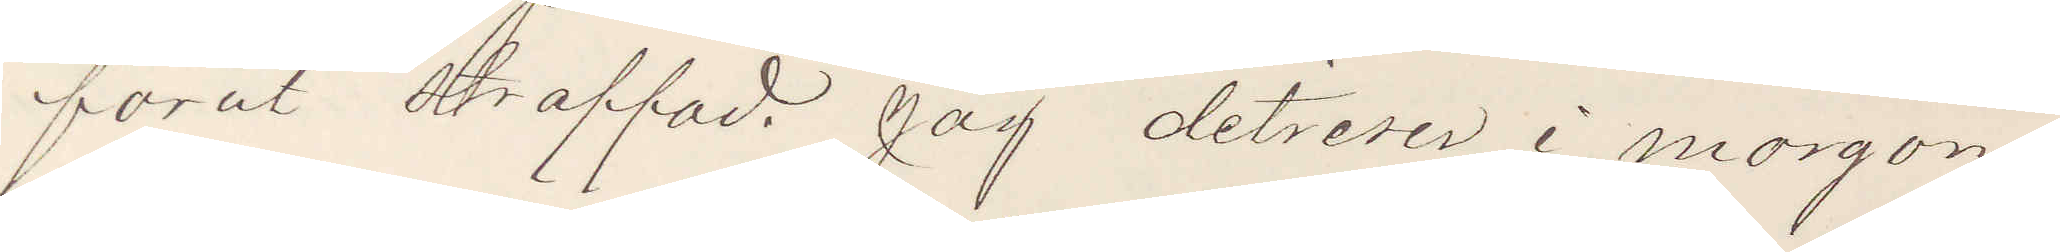förut straffad. Jag ditreser i morgon
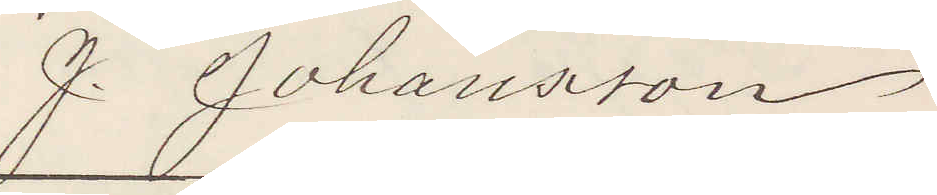J. Johansson
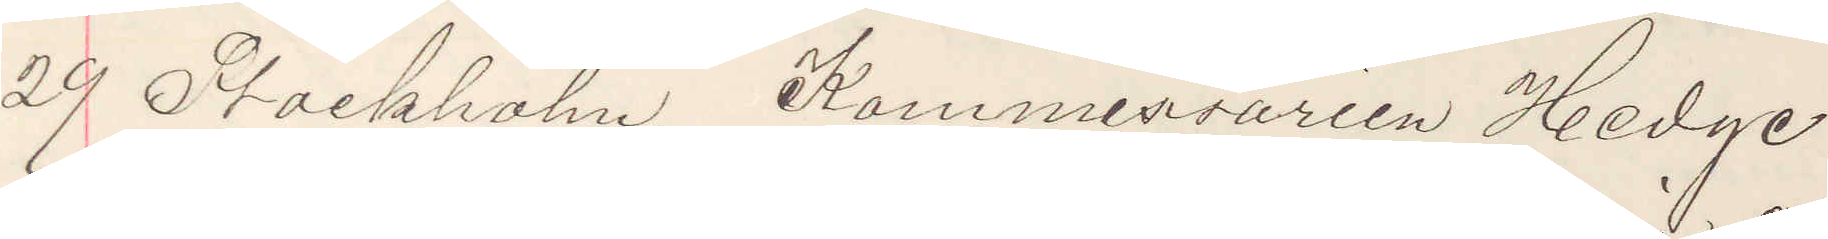29 Stockholm. Kommissarien Hedge
